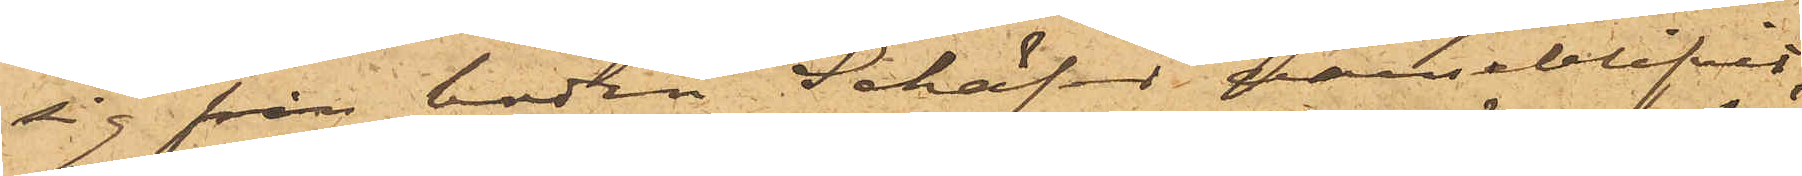sig från boden Schäfer varseblifvit,
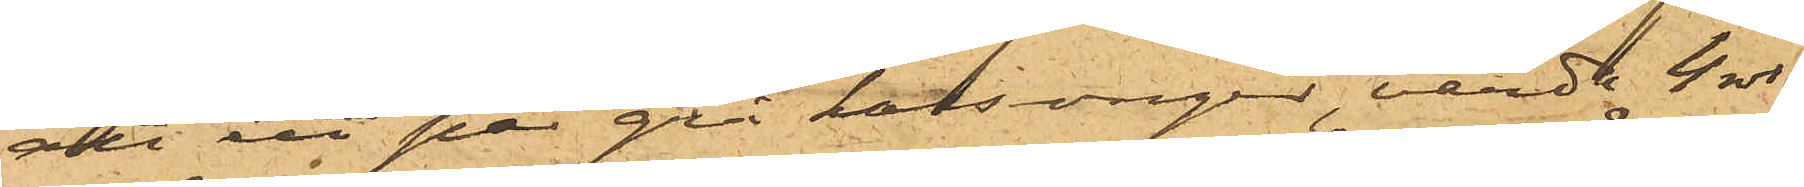att ett par grå kalsonger, värde 4 rdr
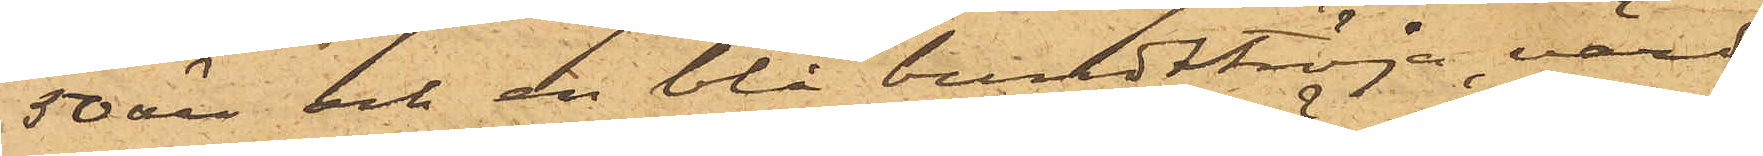50 öre och en blå bundttröja, värd
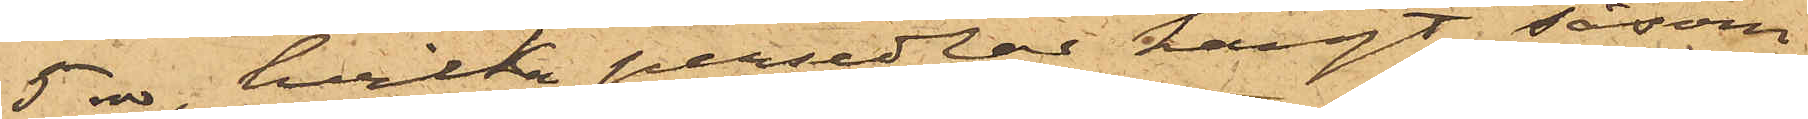5 rdr, hvilka persedlar hängt såsom
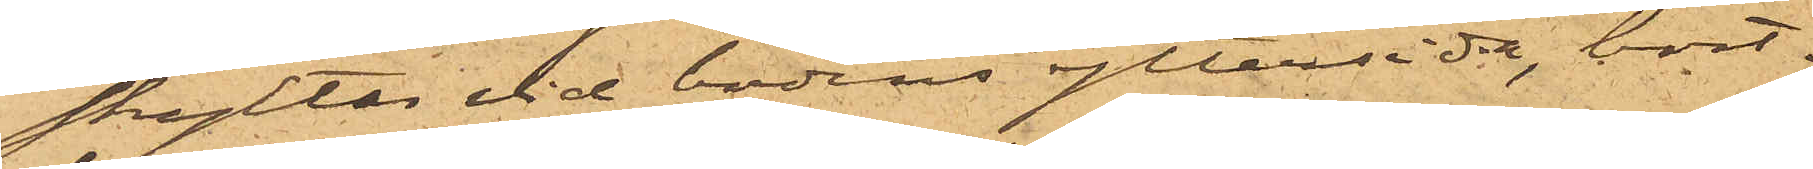skyltar vid bodens yttersida, bort¬
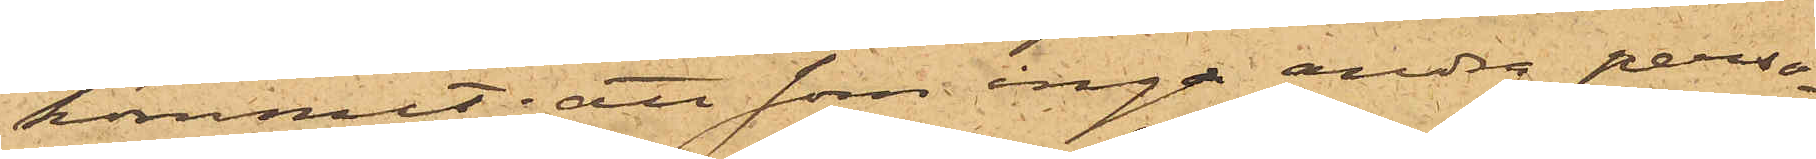kommit; att som inga andra perso¬
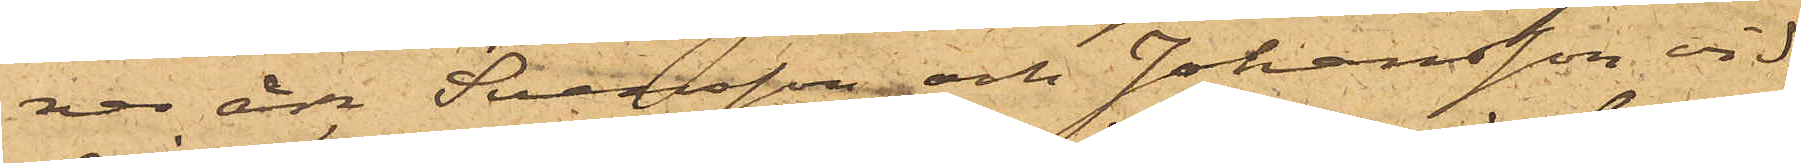ner än Svensson och Johansson vid
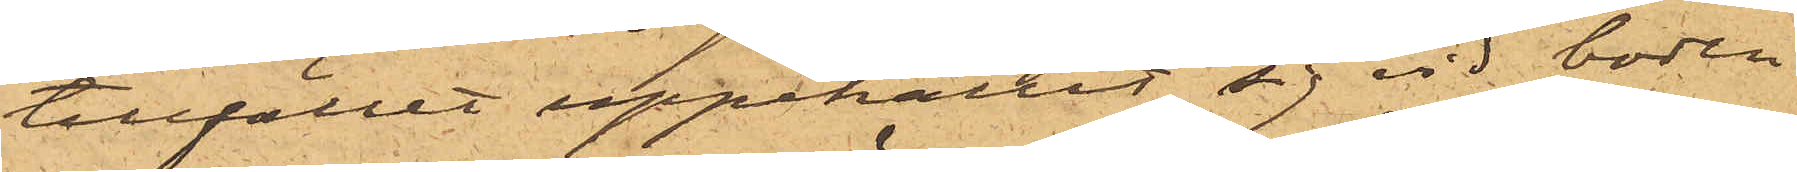tillfället uppehållit sig vid boden
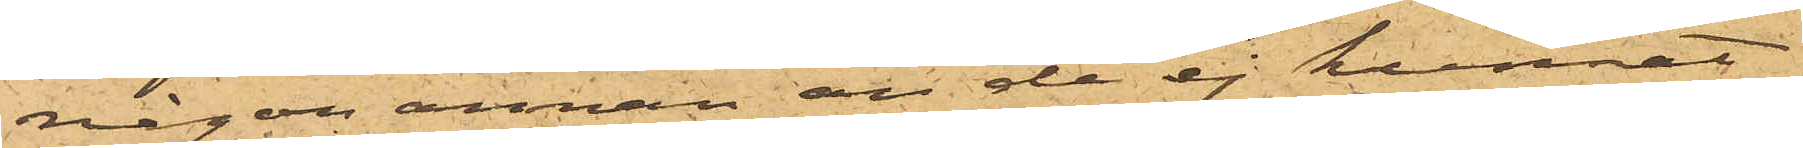någon annan än de ej kunnat
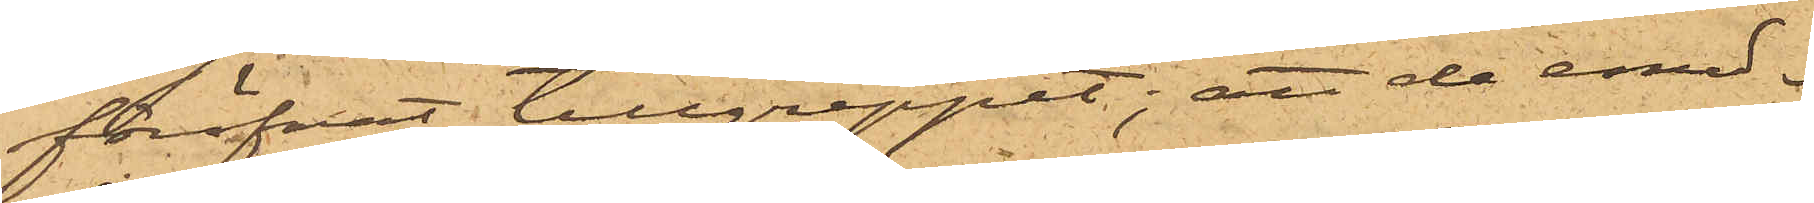föröfvat tillgreppet; att de emed¬
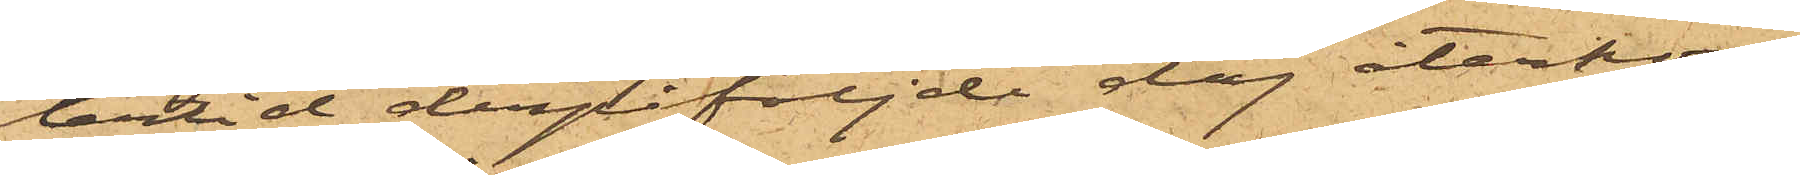lertid derpåföljde dag återkom¬
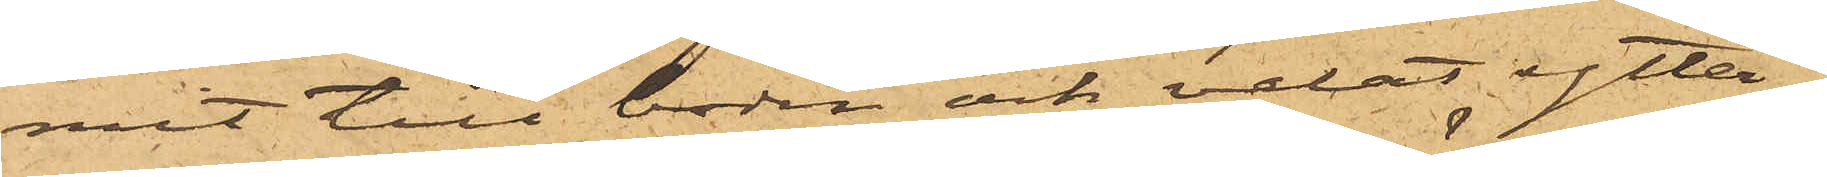mit till boden och velat ytter¬
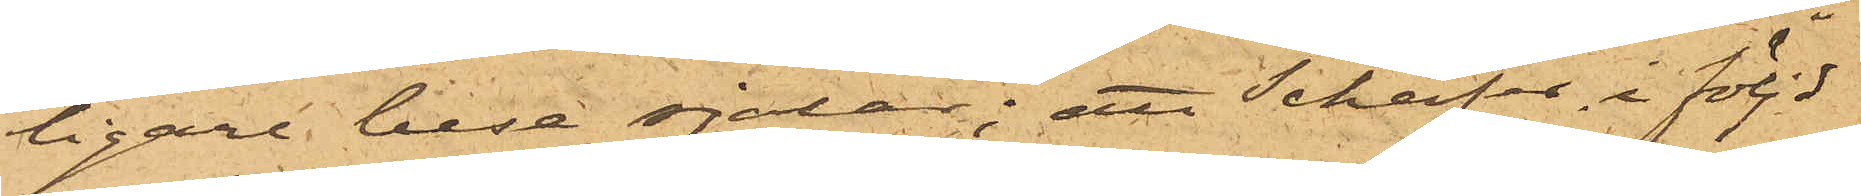ligare bese sjalar; att Schäfer, i följd
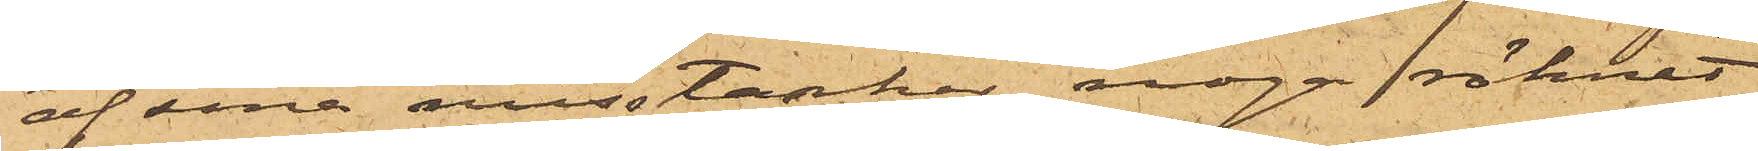af sina misstankar noga räknat
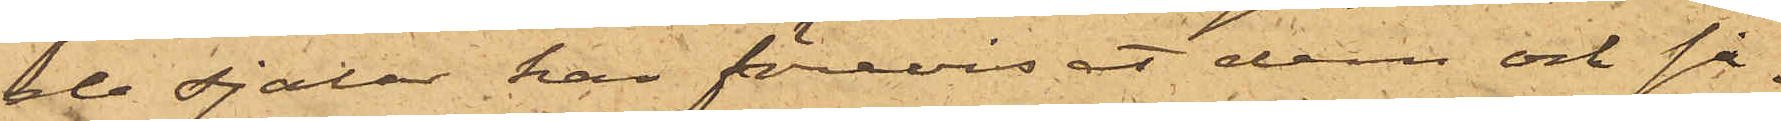de sjalar har förevisat dem och så¬
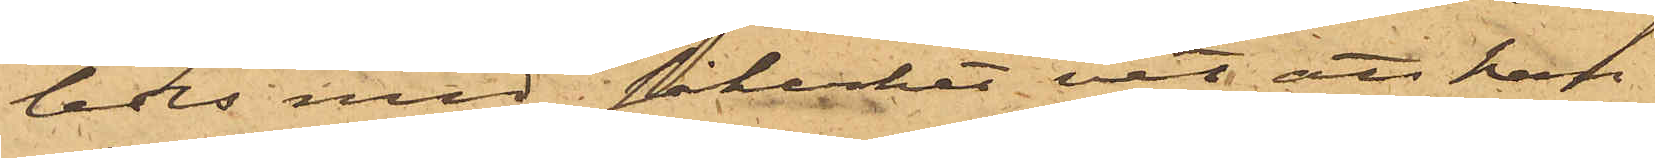ledes med säkerhet vet att han
